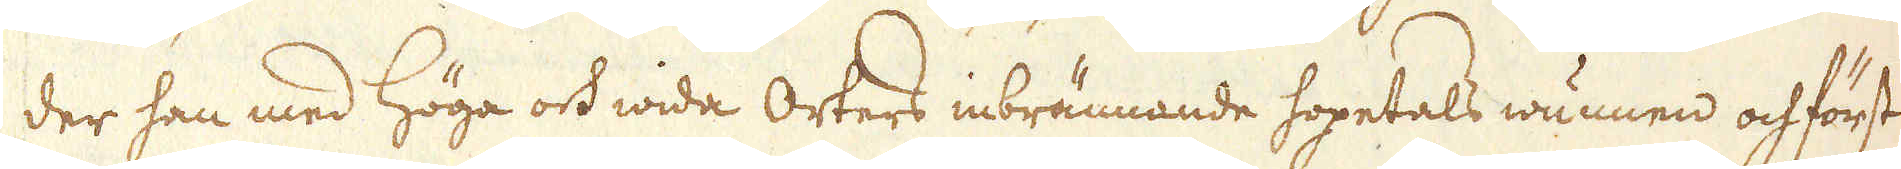der han med höga och wida Orters inbrännande hopetals wunnen och först
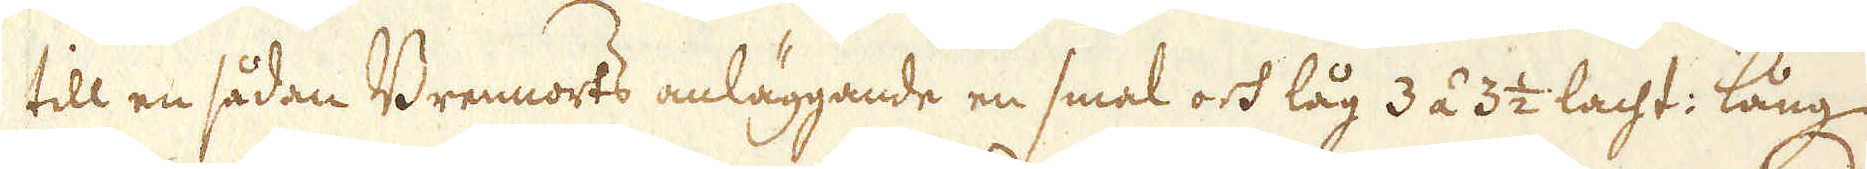till en sådan Brennorts anläggande en smal och låg 3 á 3 1/2 lacht: lång
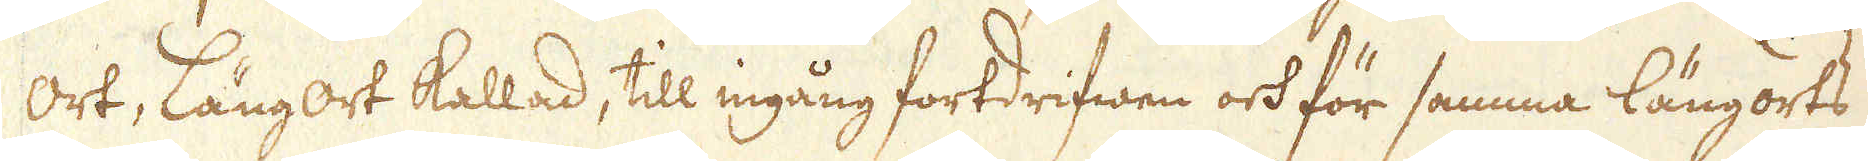ort, längort kallad, till ingång fortdrifwen och för samma längorts
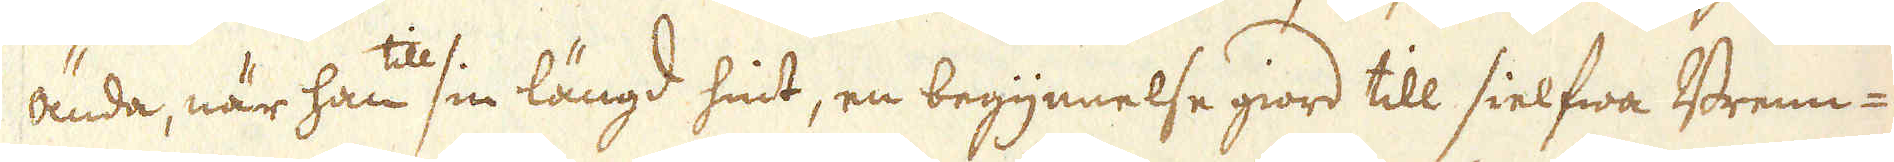ända, när han til sin längd hint, en begynnelse giord till sielfwa Brenn-
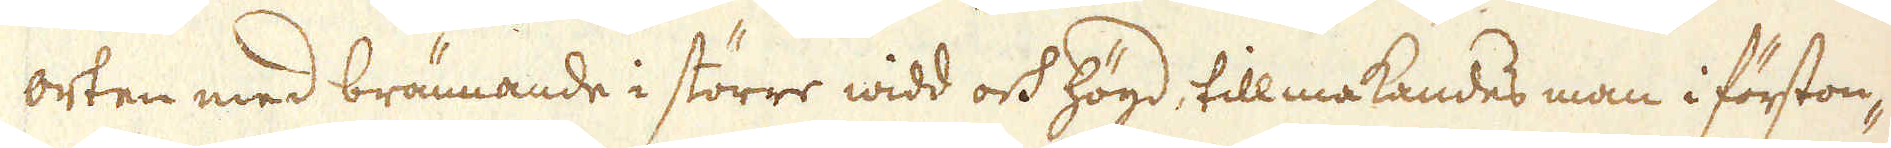orten med brännande i större widd och högd, tillmakandes man i förston-
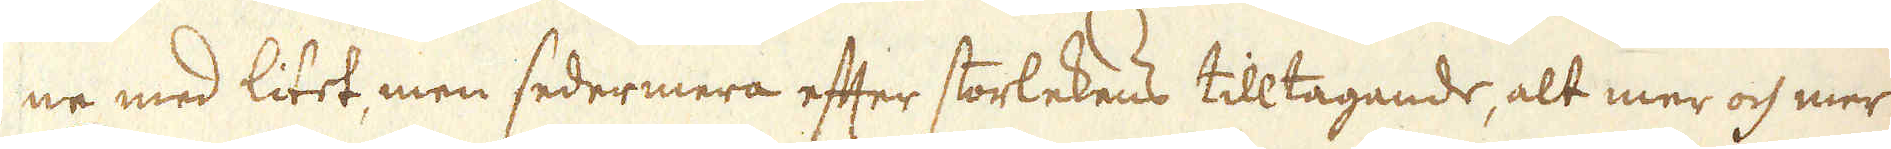ne med litet, men sedermera efter storlekens tilltagande, alt mer och mer
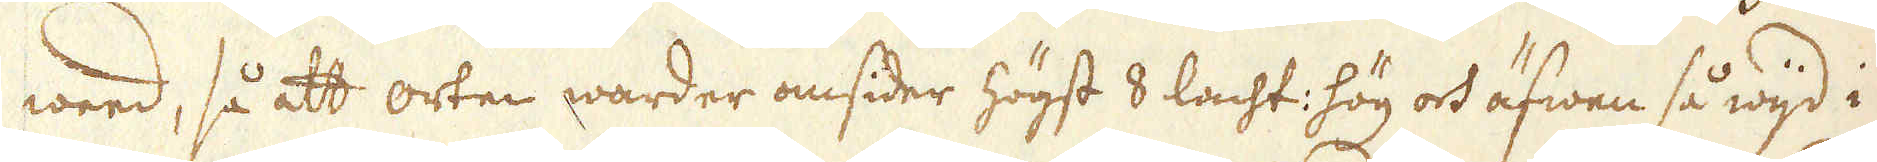weed, så att orten warder omsider högst 8 lacht: hög och äfwen så wijd i
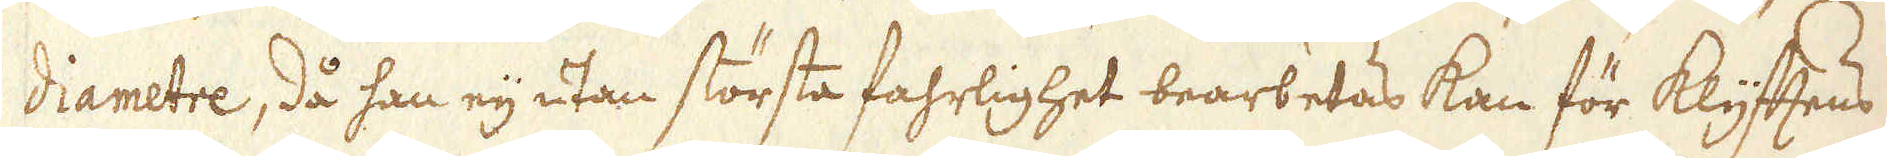diametre, då han eij utan största fahrlighet bearbetas kan för klyftens
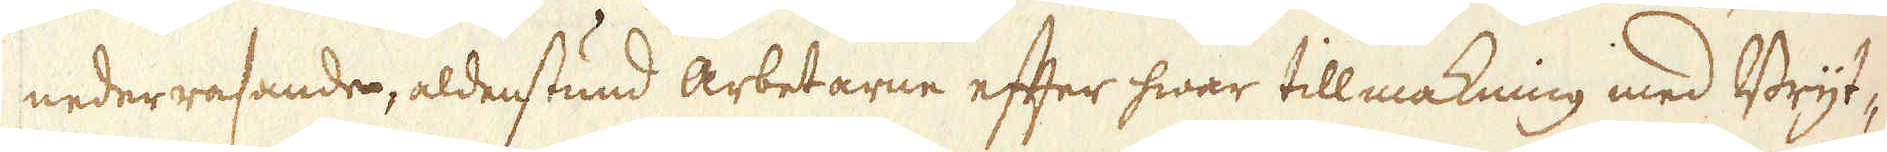nederrasande, aldenstund arbetarne efter hwar till makning med Bryt-
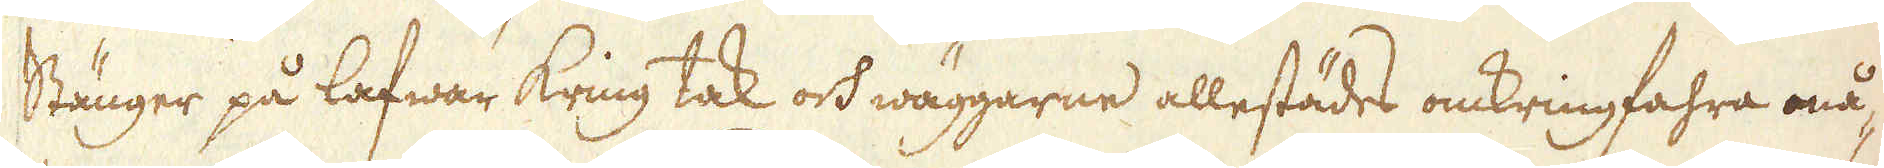Stänger på lafwar kring tak och wäggarne allestädes omkringfahra må-
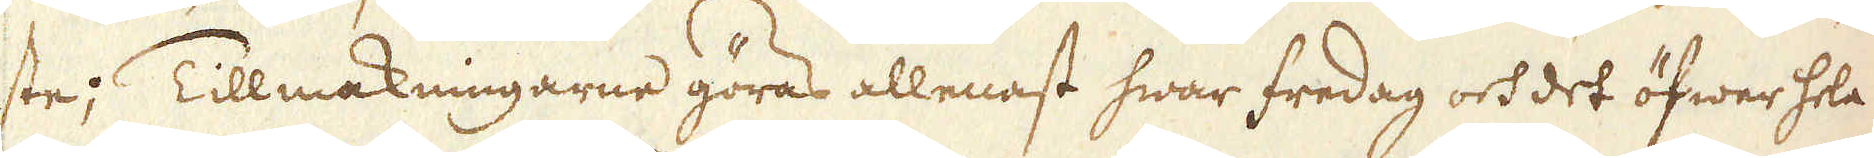ste; Tillmakningarne göras allenast hwar fredag och det öfwer hela
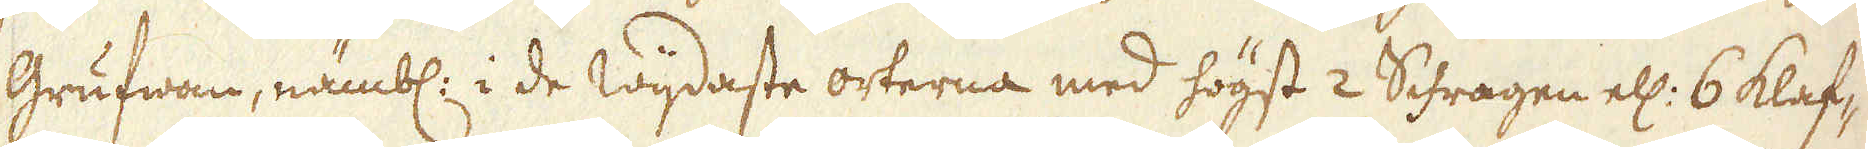Grufwan, nämbl: i de wijdaste orterna med högst 2 Schragen ell: 6 klaf-
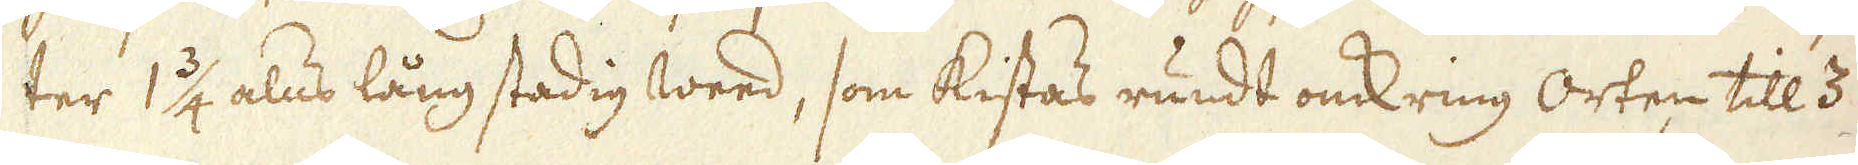ter 1 3/4 alns lång stadig weed, som kistas rundt omkring orten till 3
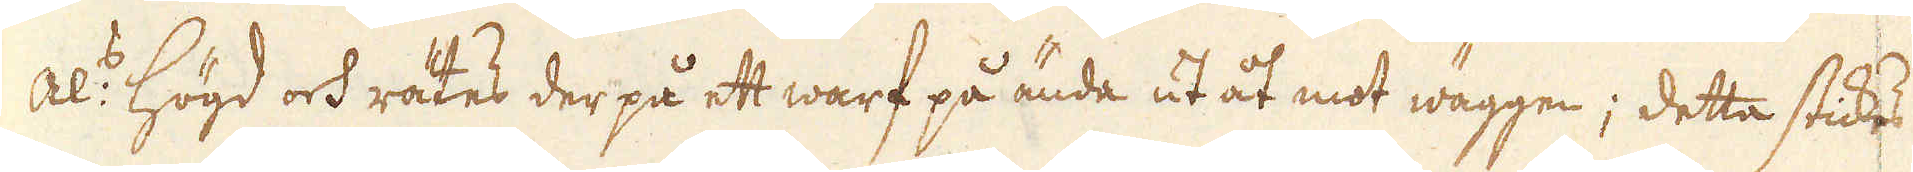Al:s högd och rätes der på ett warf på ända ut åt mot wäggen; detta stickes
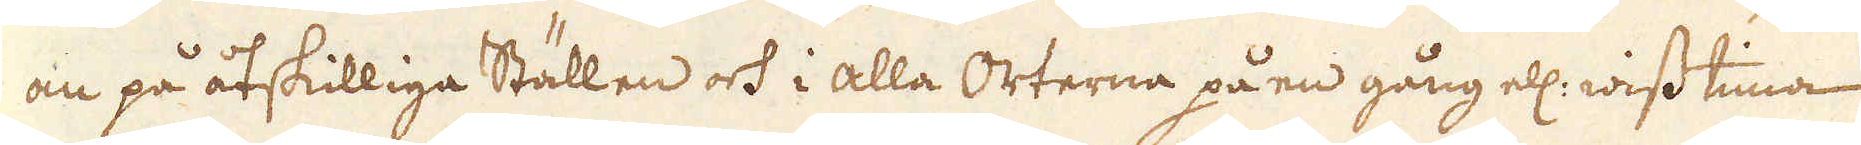än på åtskilliga Ställen och i alla Orterna på en gång ell: wiss tima
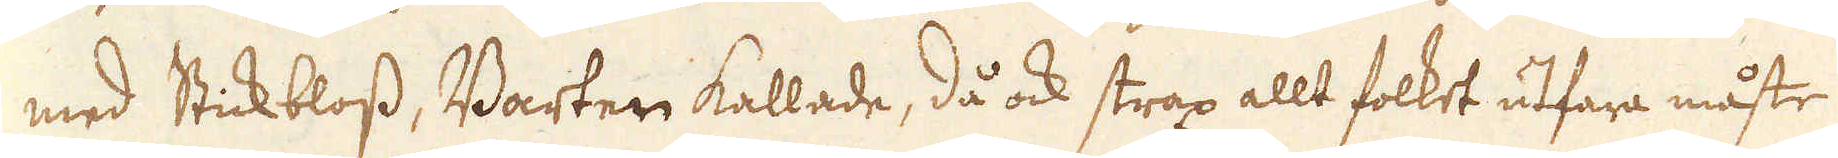med Stickbloss, Barter kallade, då ock strax allt folket utfara måste
